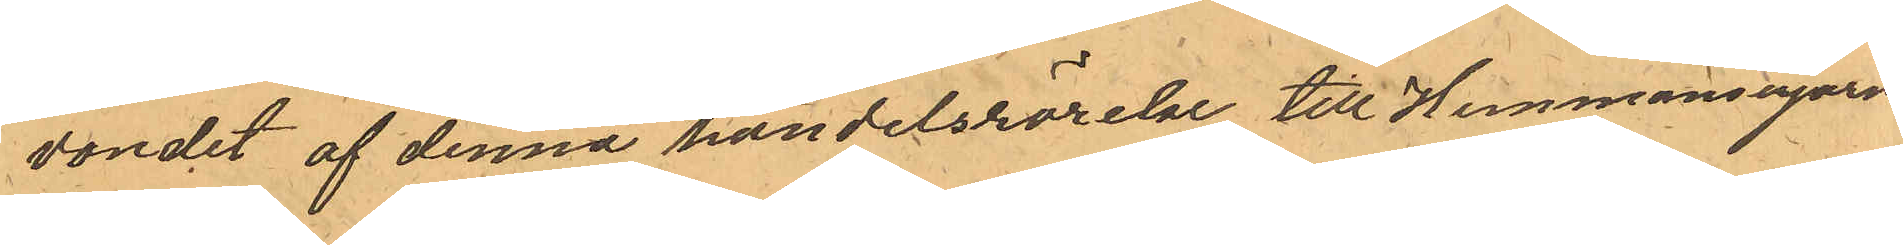vandet af denna handelsrörelse till Hemmansegarn
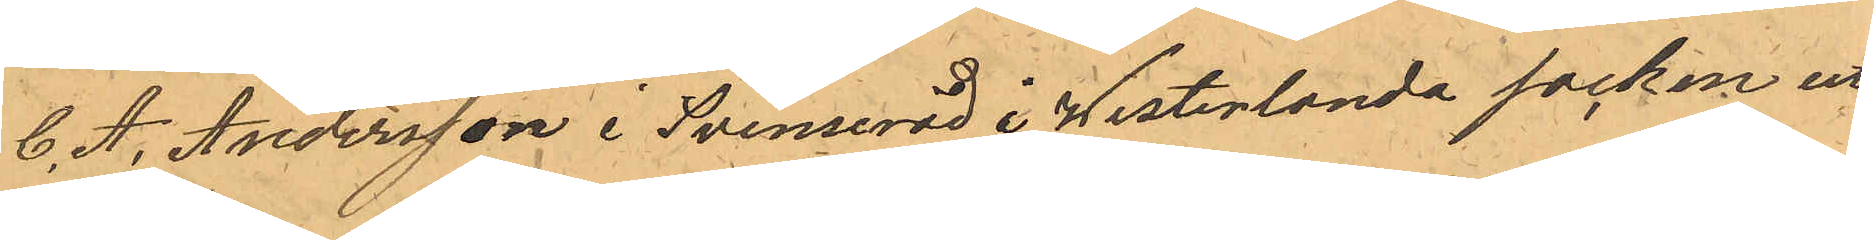C. A. Andersson i Svenseröd i Westerlanda socken ut¬
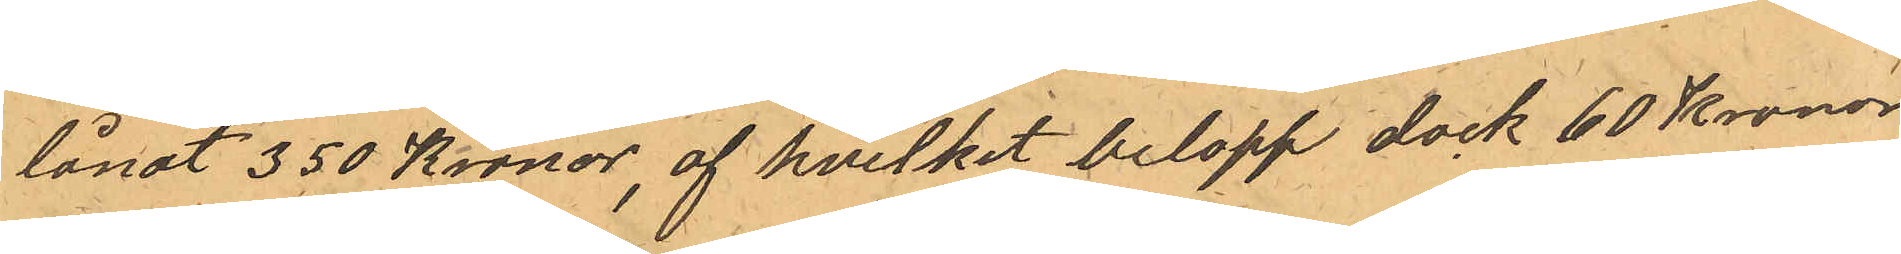lånat 350 Kronor, af hvilket belopp dock 60 Kronor
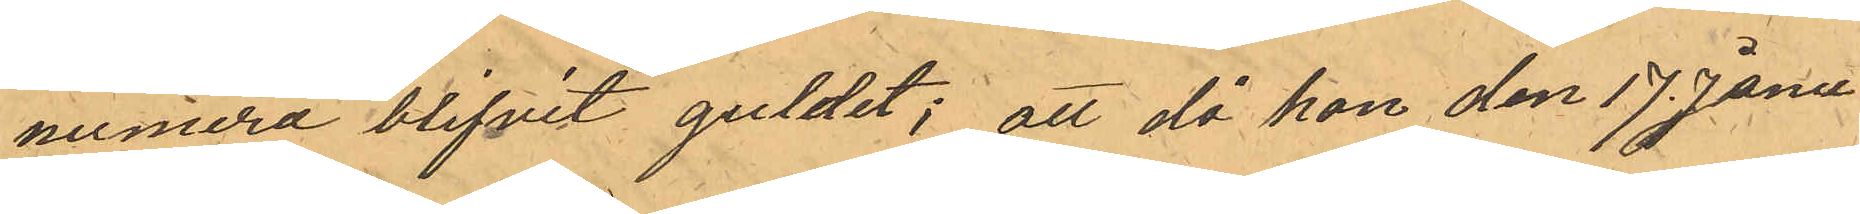numera blifvit guldet; att då han den 17 Janu¬
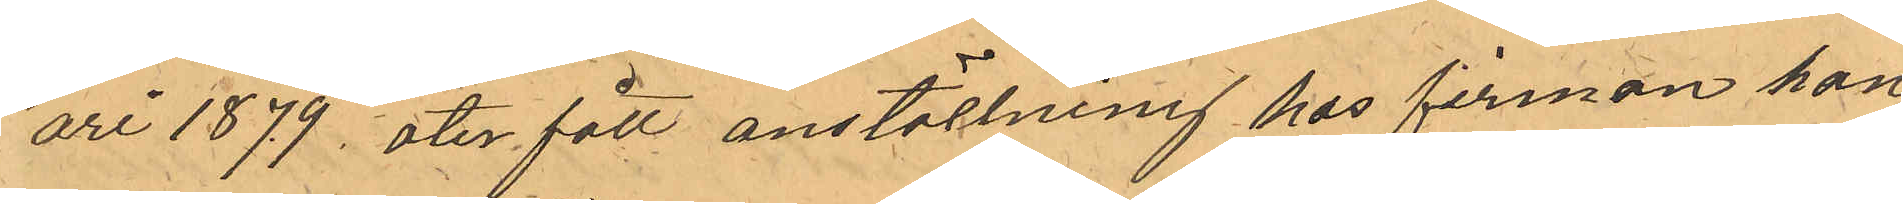ari 1879, ater fått anställning hos firman han
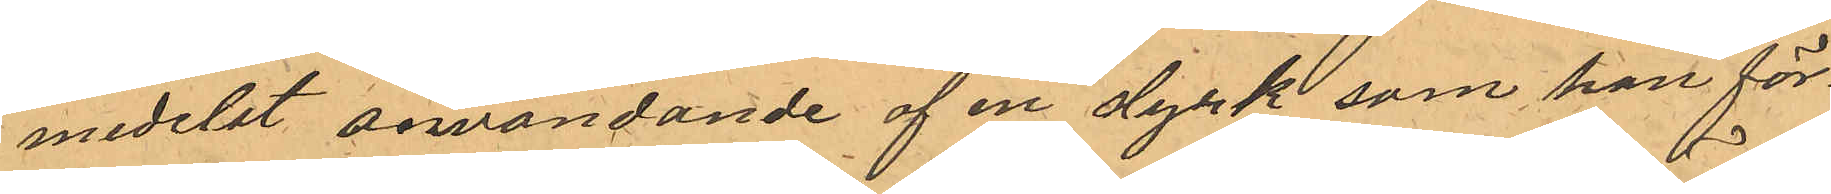medelst användande af en dyrk, som han för¬
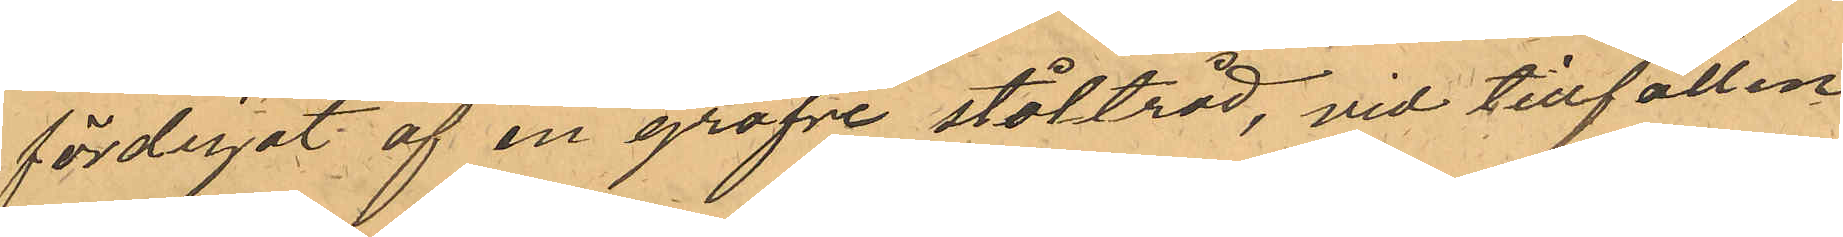färdigat af en gröfve ståltråd, vid tillfällen
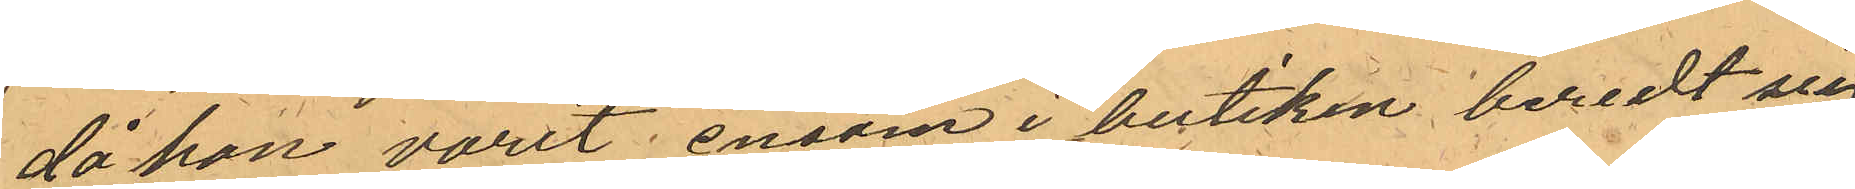då han varit ensam i butiken beredt sig
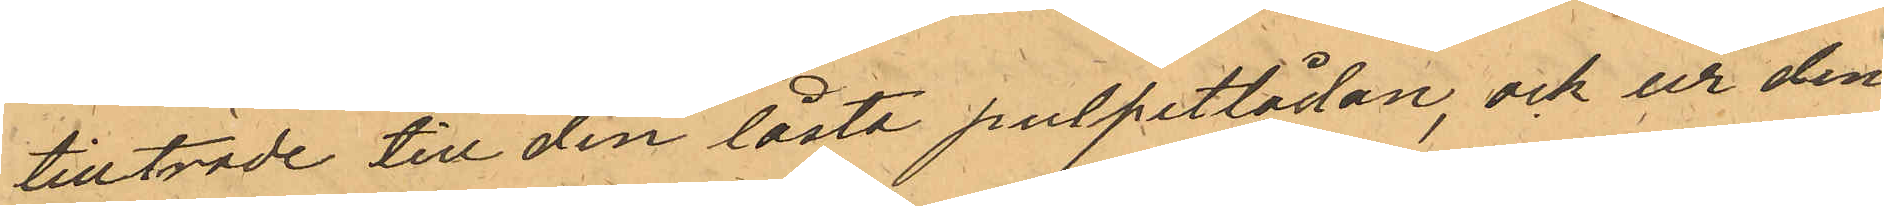tillträde till den låsta pulpetlådan, och ur den¬
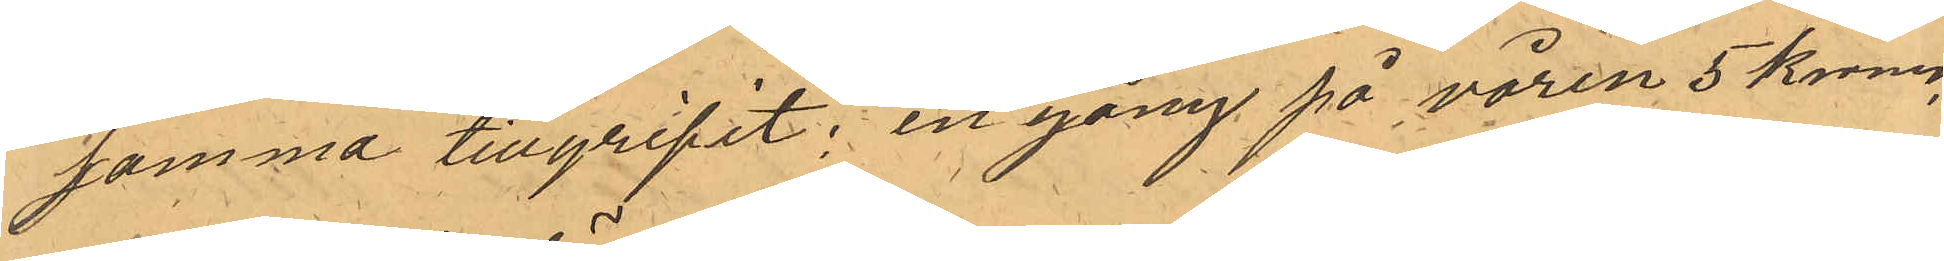samma tillgripit: en gång på våren 5 Kronor,
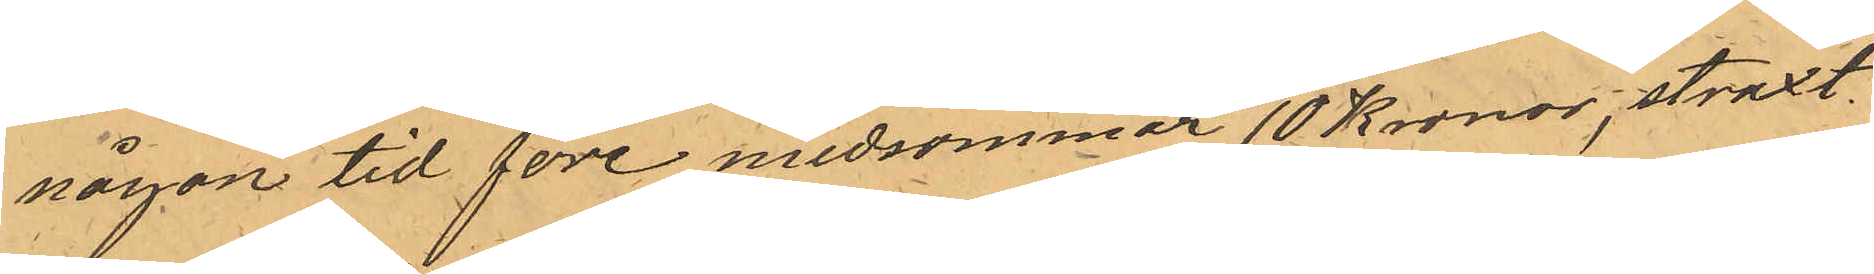någon tid före midsommar 10 Kronor, straxt
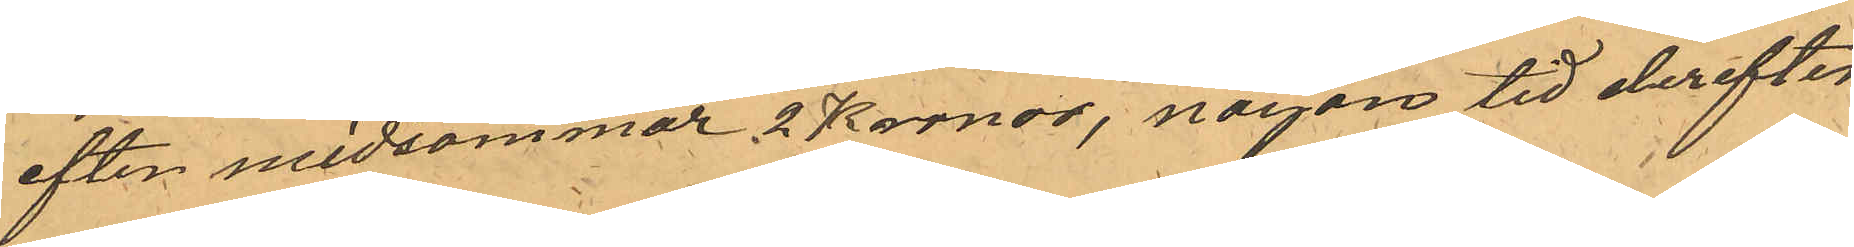efter midsommar 2 Kronor, någon tid derefter
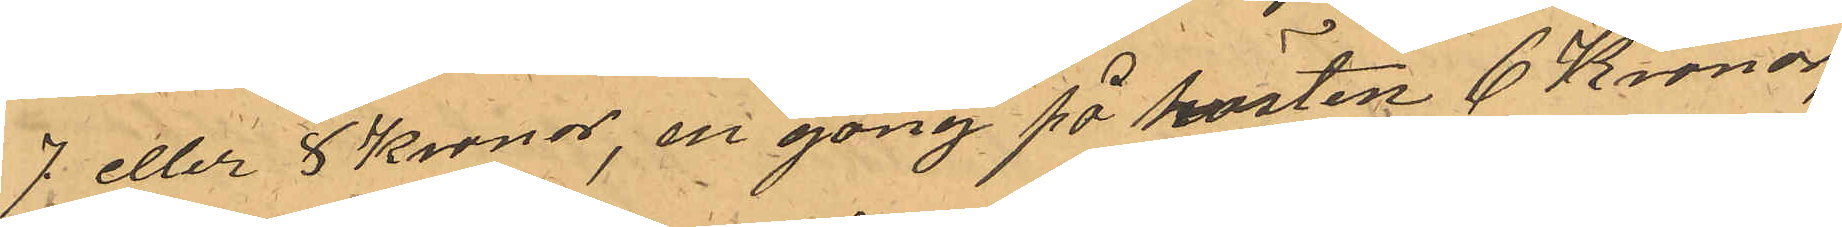7 eller 8 Kronor, en gång på hösten 6 Kronor,
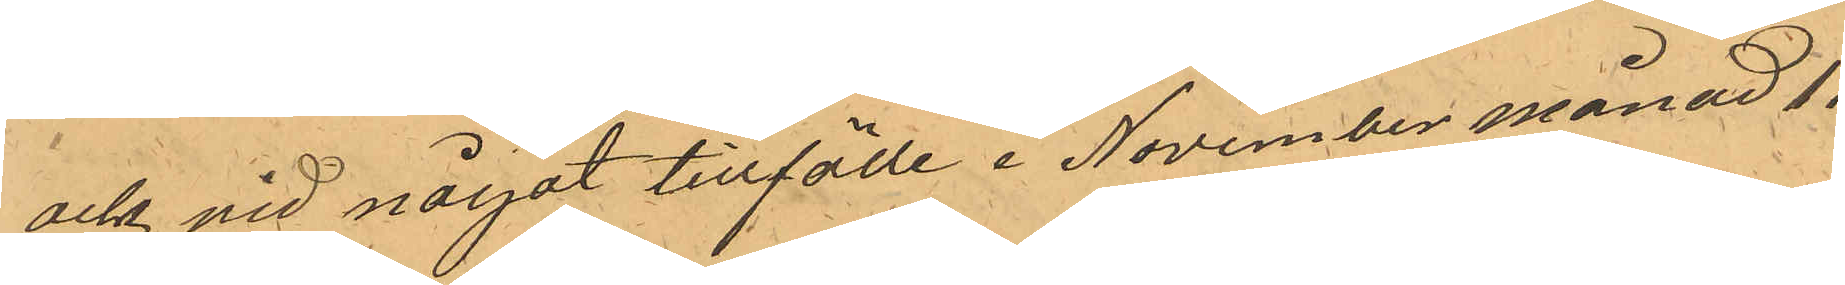ock vid något tillfälle i November månad 11
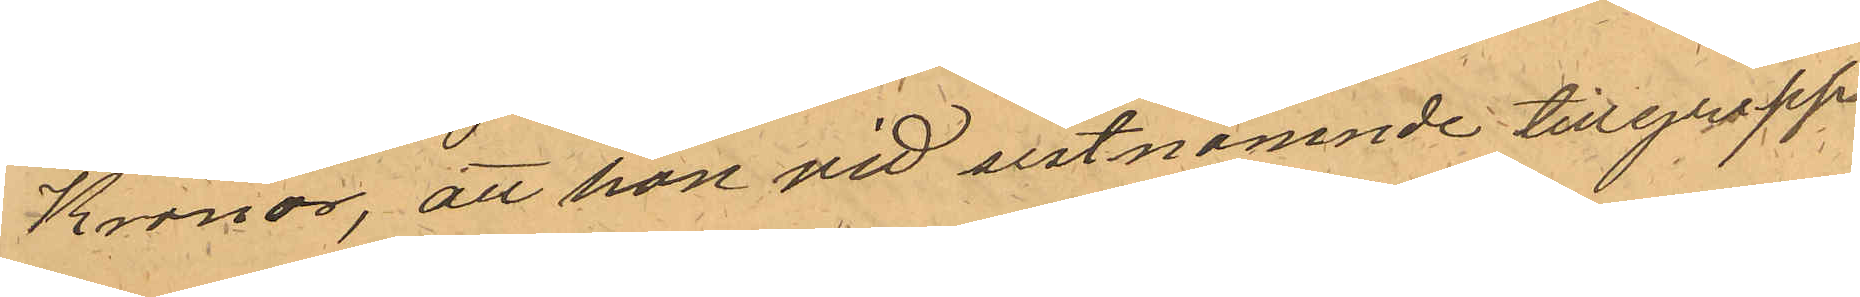Kronor, att han vid sistnämnde tillgrepp
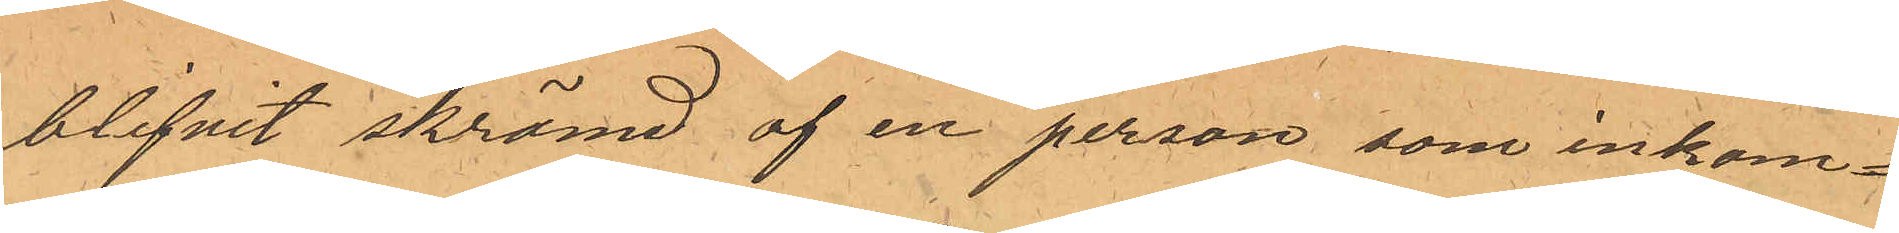blifvit skrämd af en person, som inkom¬
